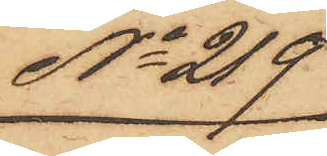No 219
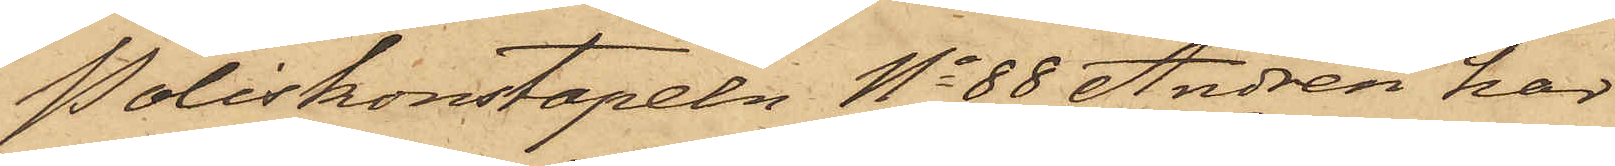Poliskonstapeln No 88 Andrén har
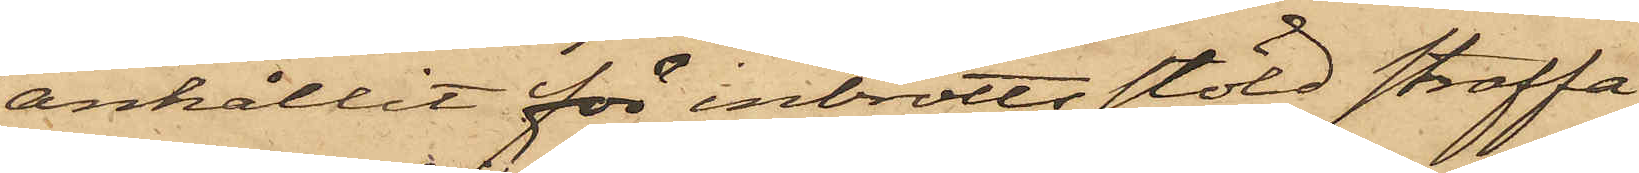anhållit för inbrottsstöld straffa¬
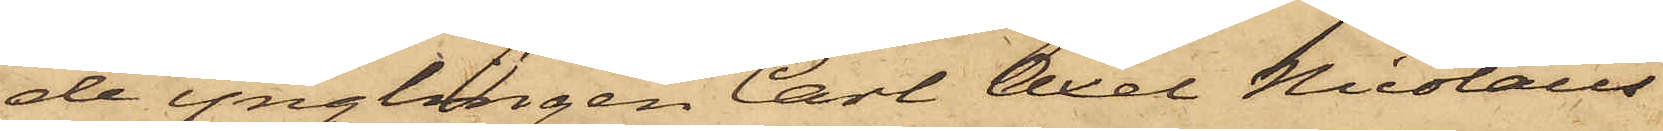de ynglingen Carl Axel Nicolaus
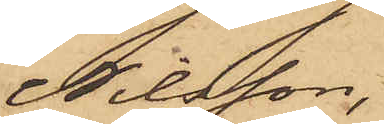Nilsson,
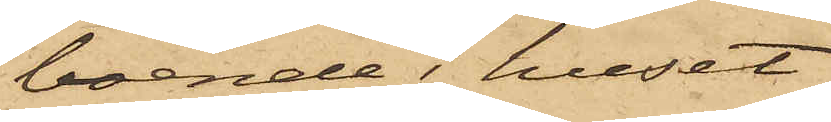boende i huset
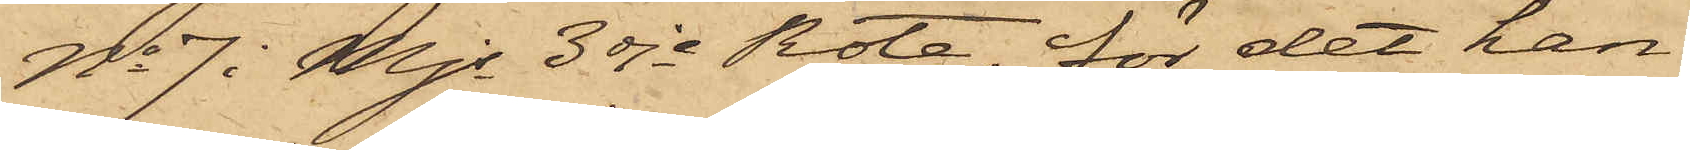No 7 i Mjs 3dje Rote, för det han
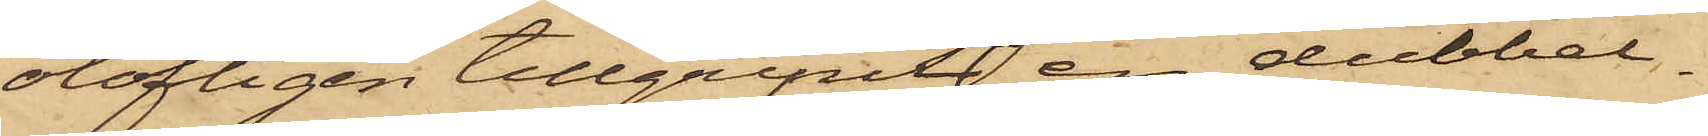olofligen tillgripits en dubbel¬
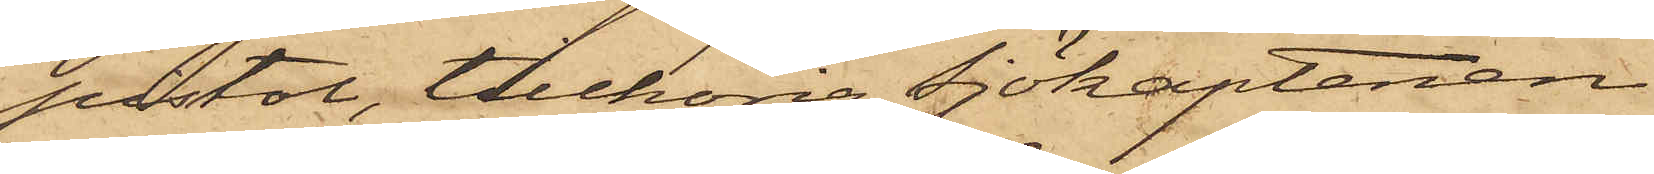pistol, tillhörig sjökaptenen
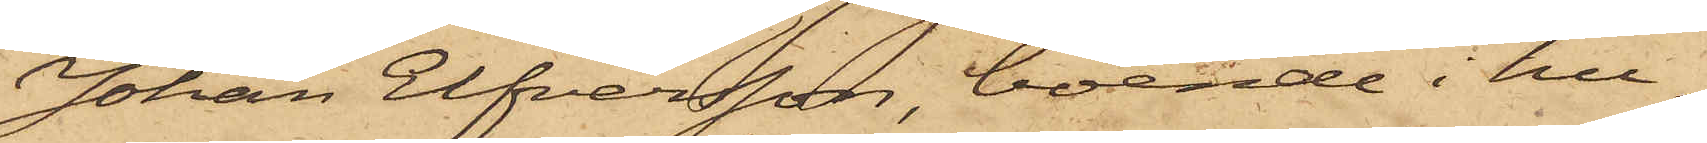Johan Elfversson, boende i hu¬
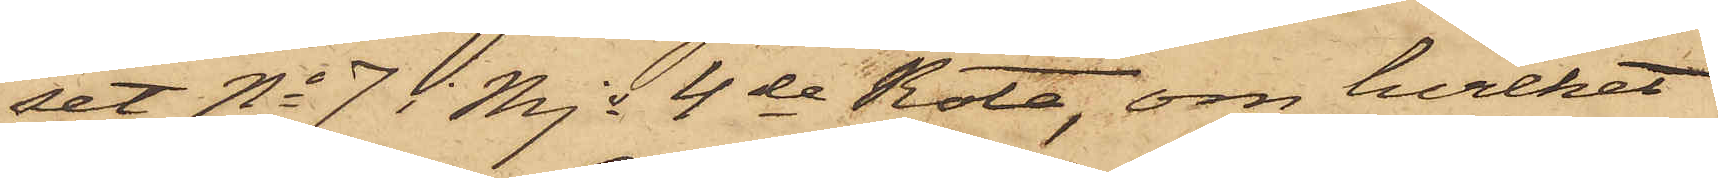set No 7 i Mjs 4de Rote, om hvilket
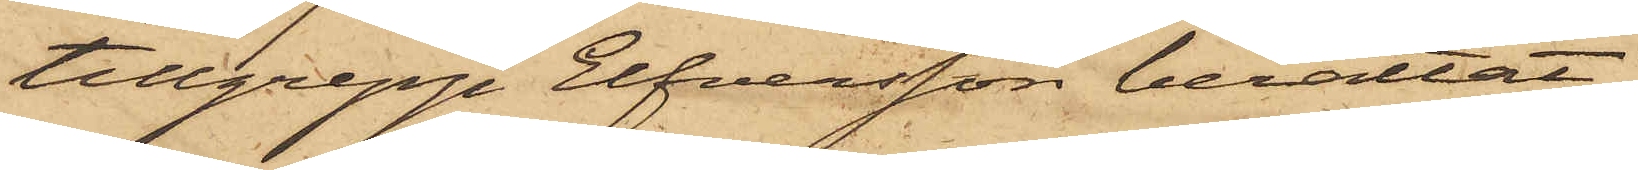tillgrepp Elfversson berättat,
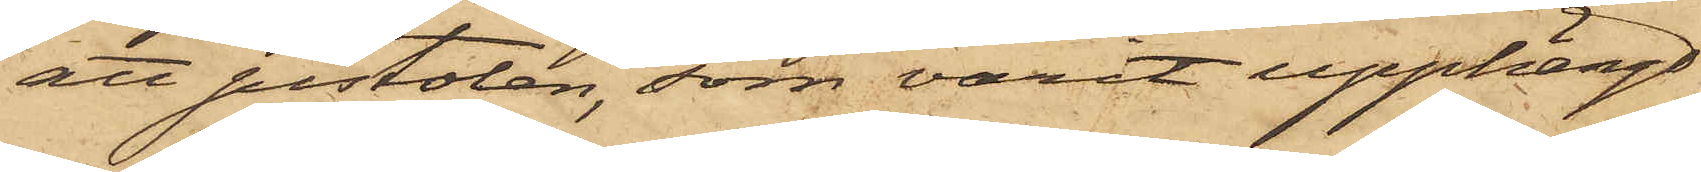att pistolen, som varit upphängd
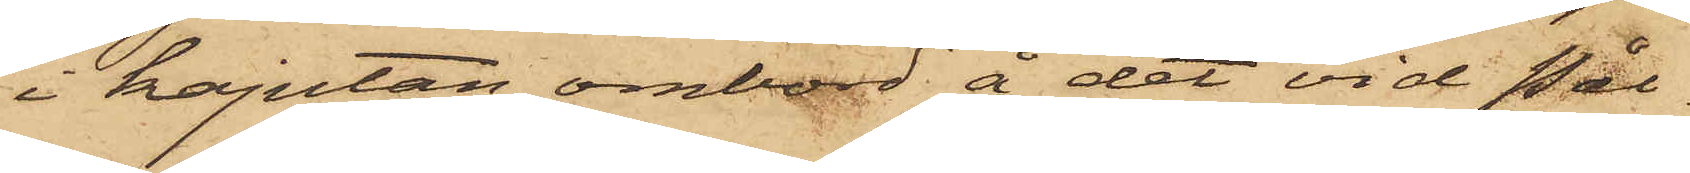i kajutan ombord å det vid Pål¬
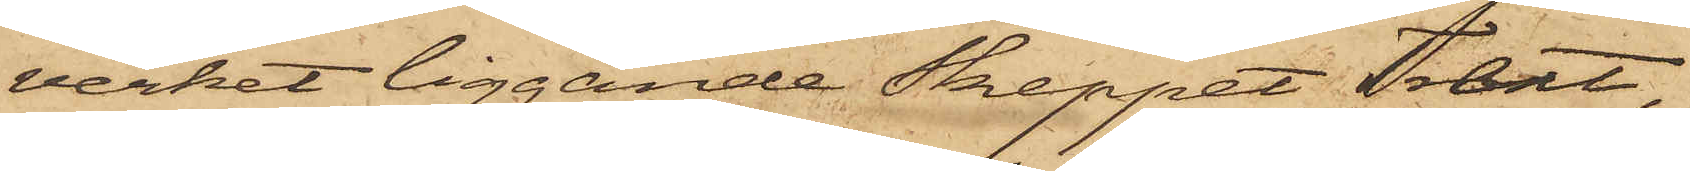verket liggande Skeppet Trent,
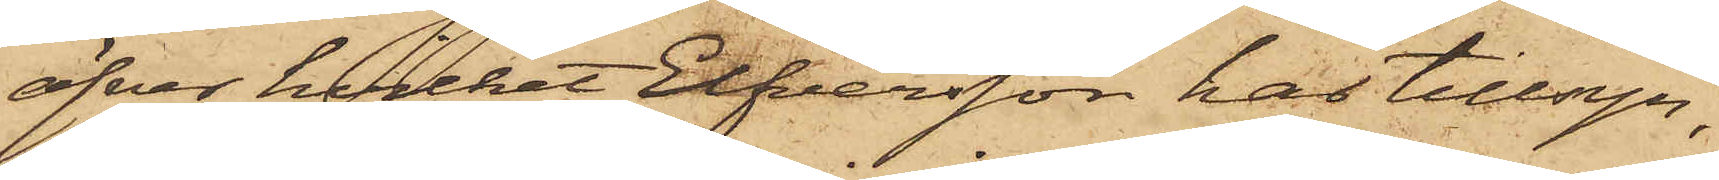öfver hvilket Elfversson har tillsyn,
